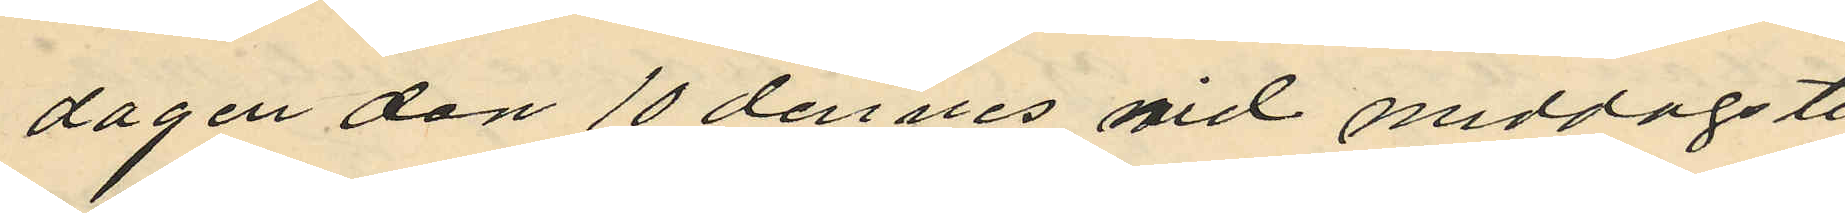dagen den 10 dennes vid middagsti
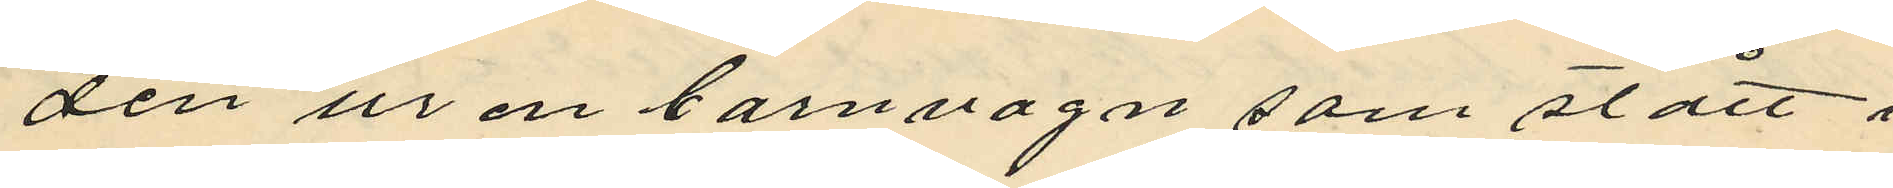den ur en barnvagn som stått i
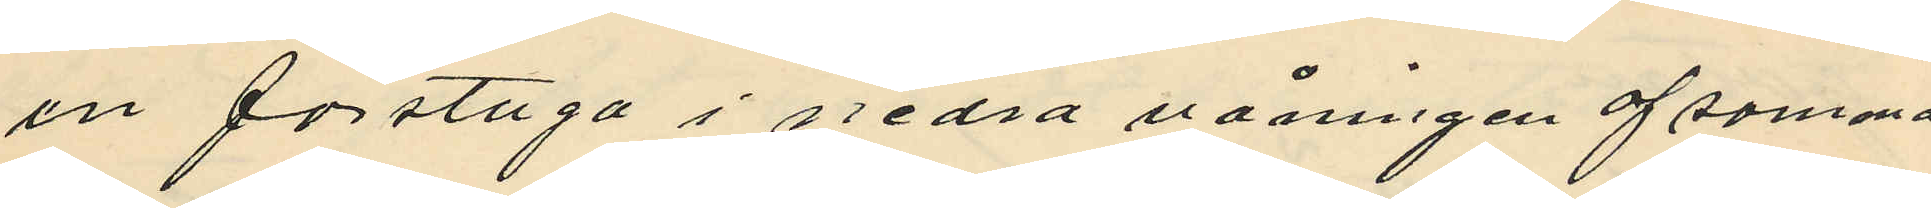en förstuga i nedra våningen af samma
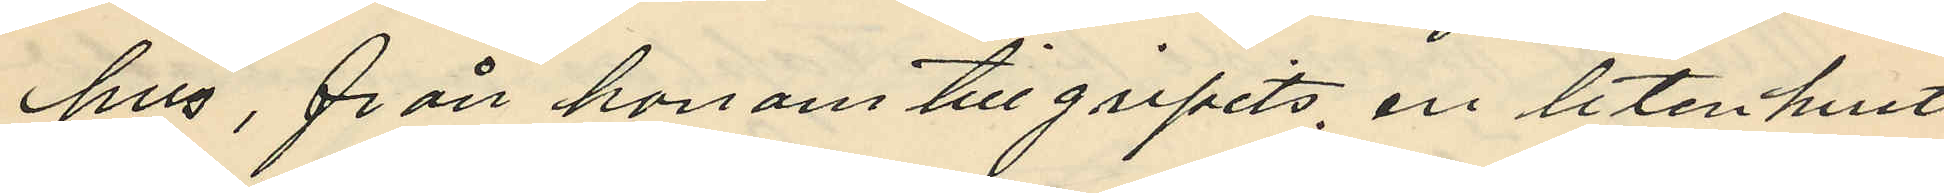hus, från honom tillgripits, en liten hvit
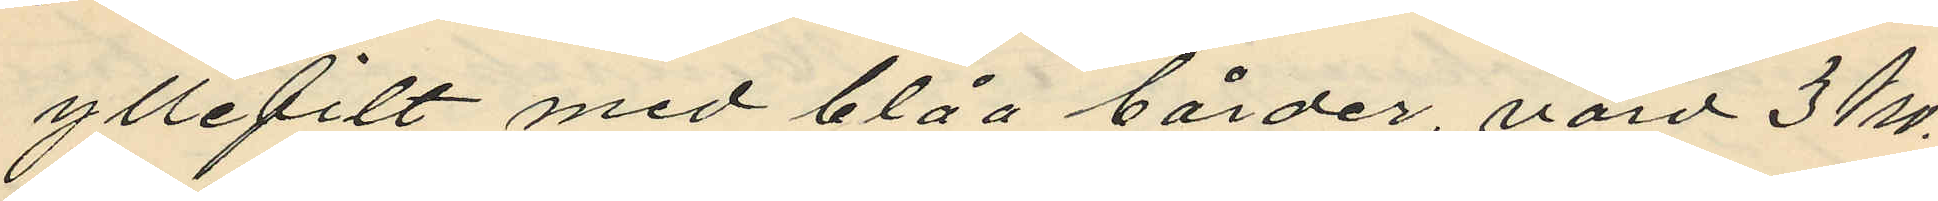yllefilt med blåa bårder, värd 3 kro¬
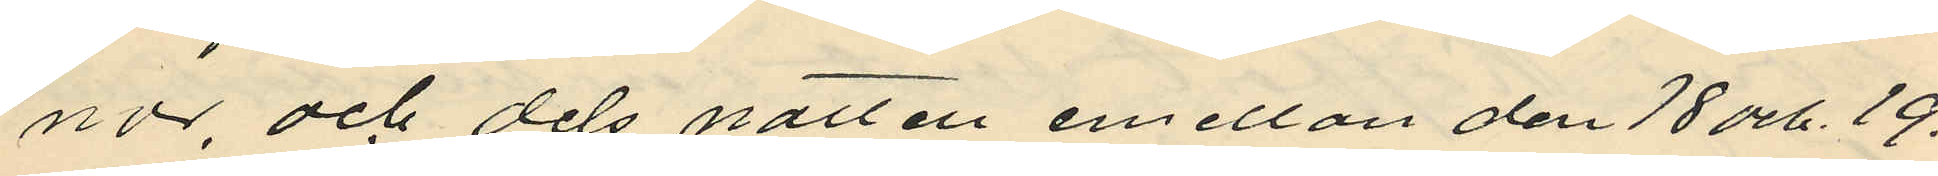nor, och dels natten emellan den 18 och 19.
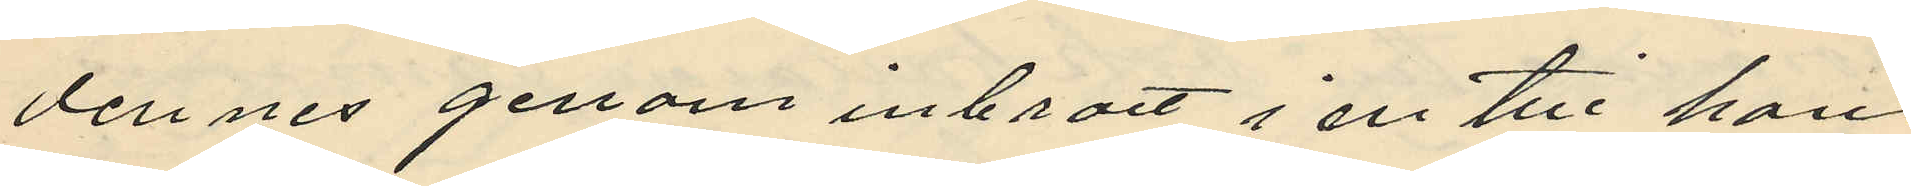dennes genom inbrott i en till hans
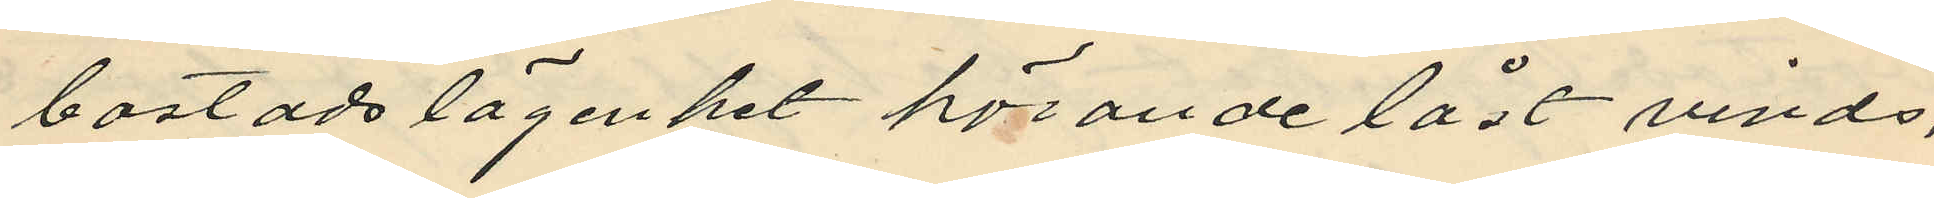bostadslägenhet hörande låst vinds,
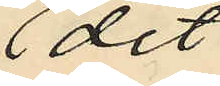skrubb
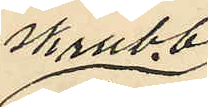dit
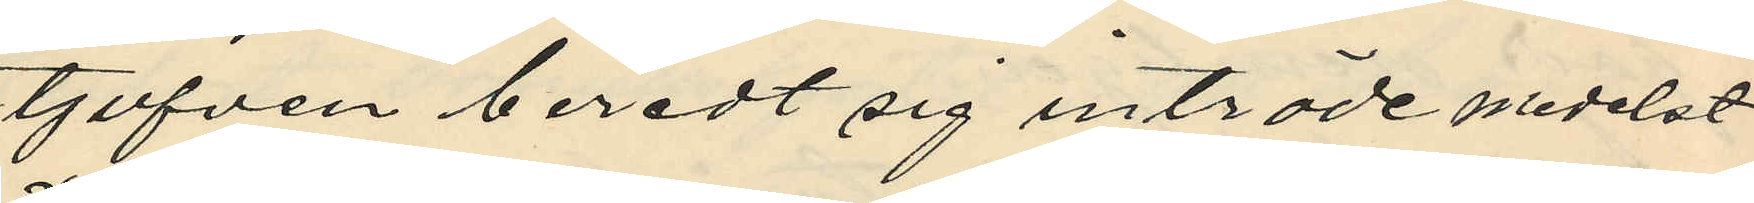tjufven beredt sig inträde medelst
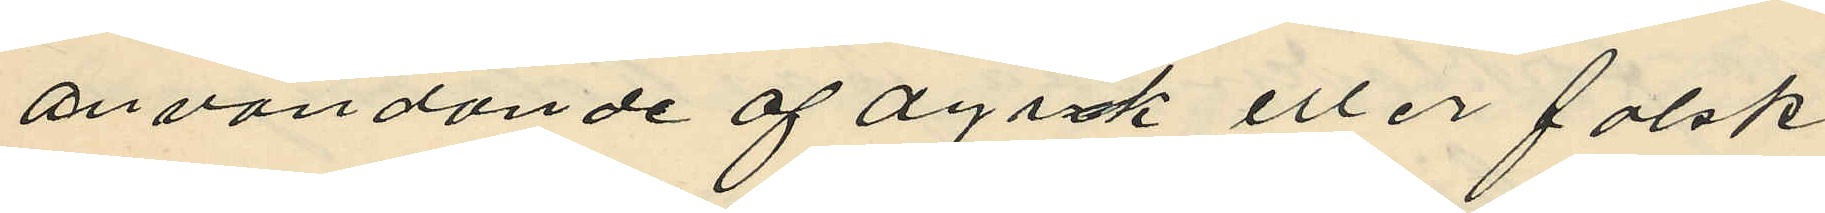användande af dyrk eller falsk
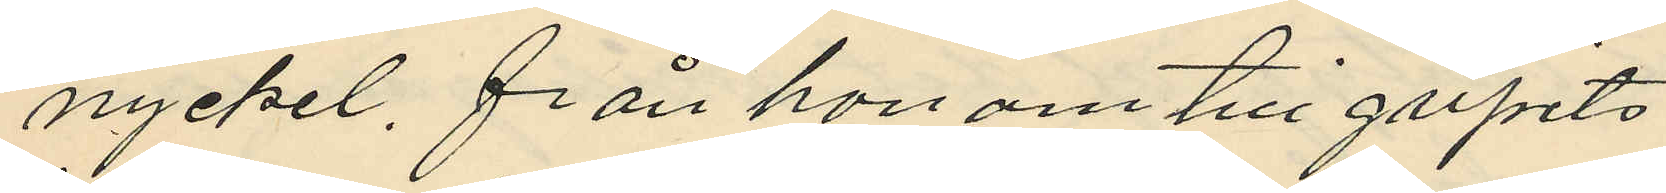nyckel, från honom tillgripits
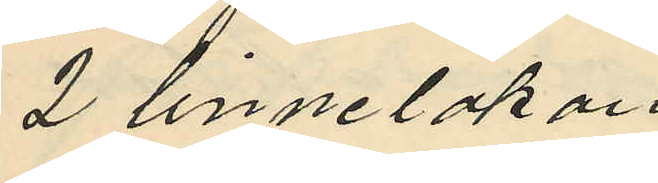2 linnelakan
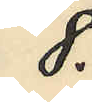8.
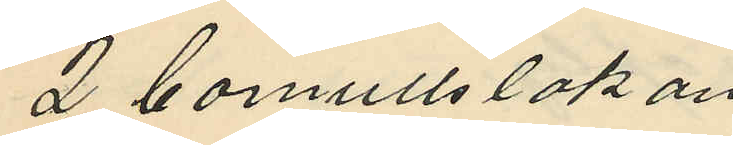2 bomullslakan
